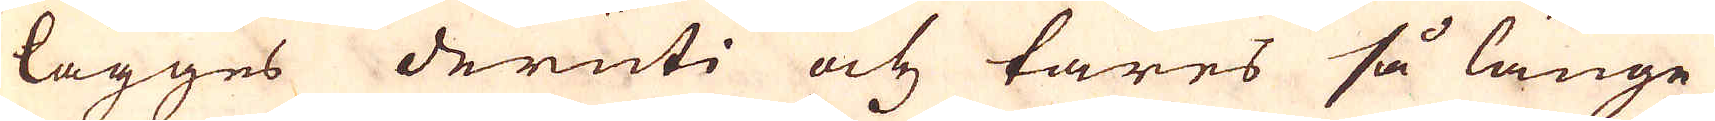lägges deruti och täres så länge
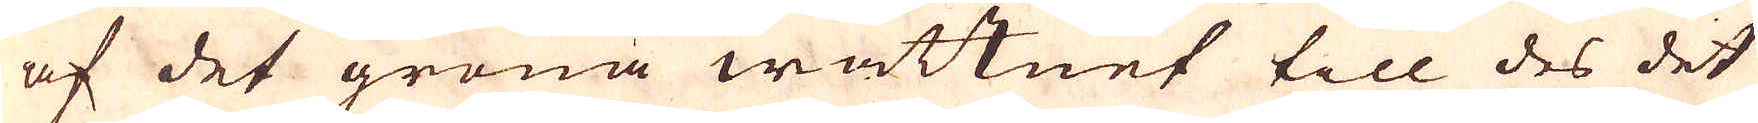af det gröna wattnet till des det
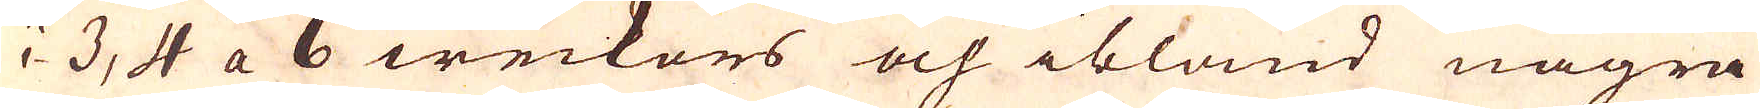i 3, 4 a 6 weckors och ibland några
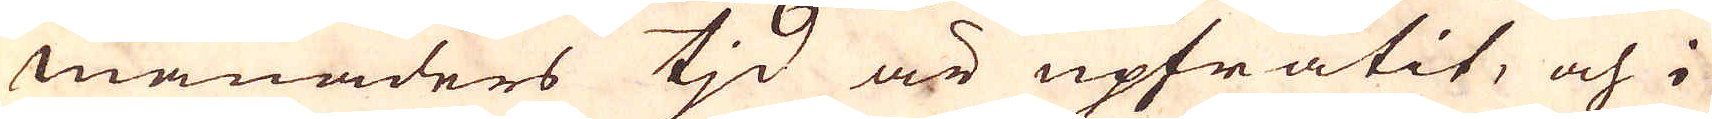månaders tjd är upfrätit, och i
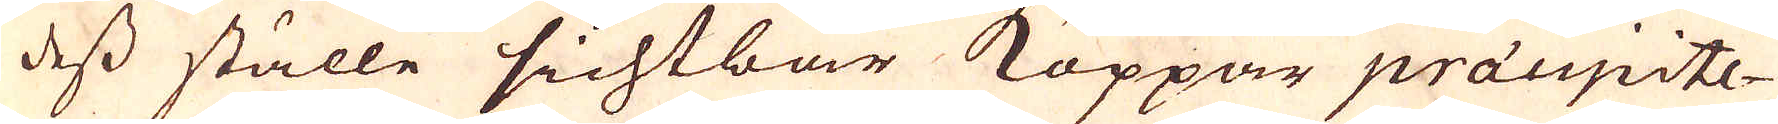dess ställe sichtbar Koppar praecipite-
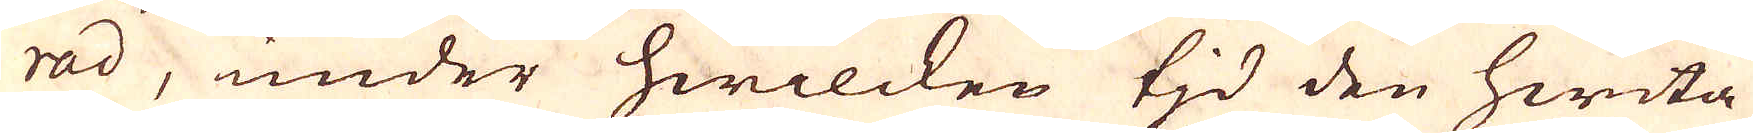rad, under hwilcken tjd den hwita
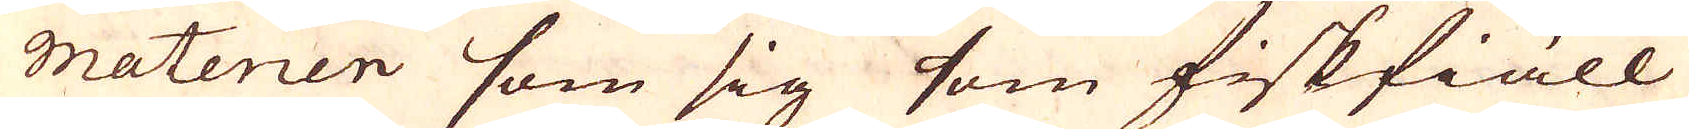materien som sig som fiskfiäll
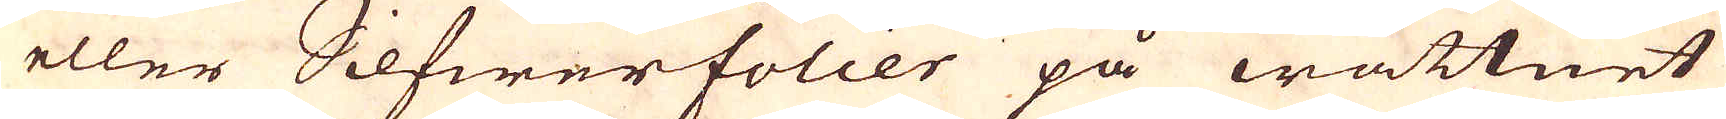eller Silfwerfolier på wattnet
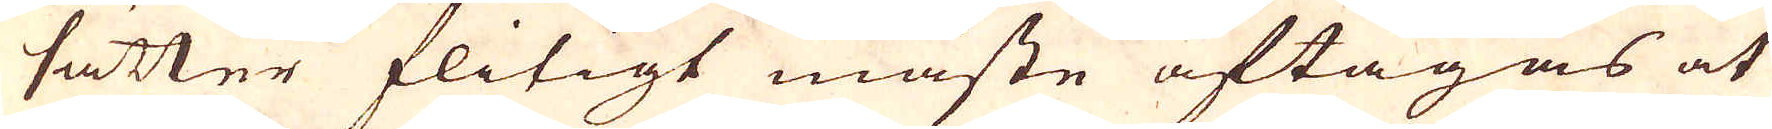sätter flitigt måste aftagas at
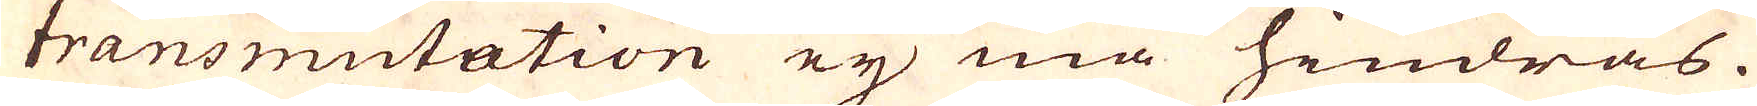transmutation ey må hindras.
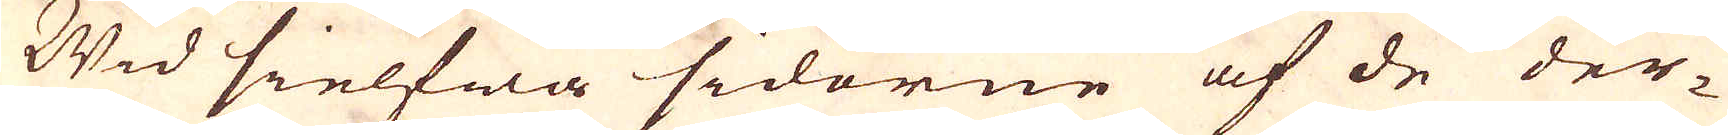Wid sielfwa sidorne af de der-
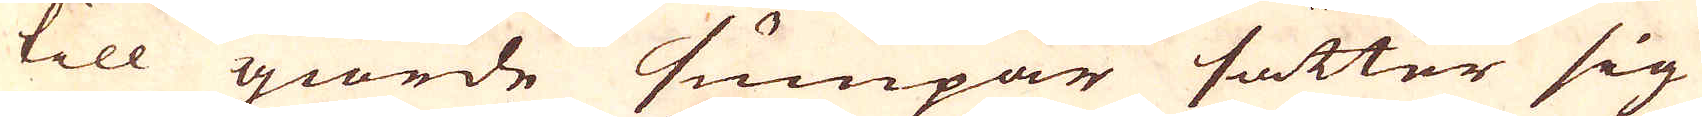till giorde sumpar sätter sig
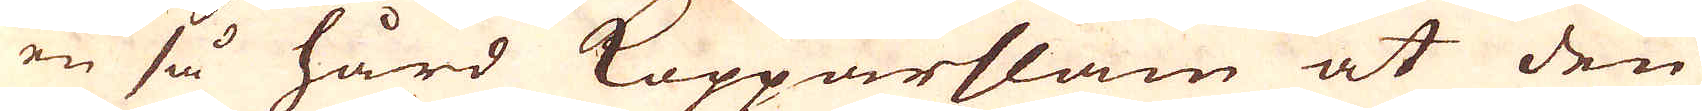en så hård Kopparslam at den
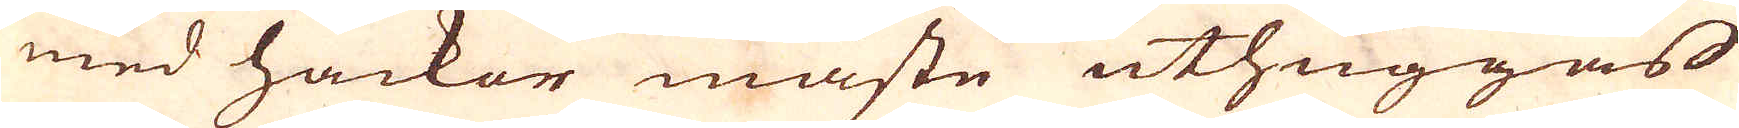med hackor måste uthuggas
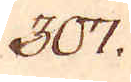307.
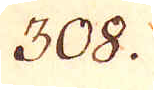308.
